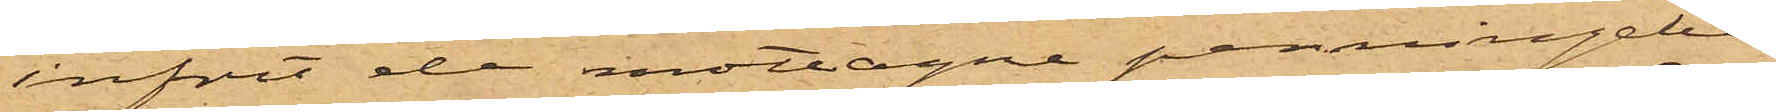infört de mottagne pennngebe¬
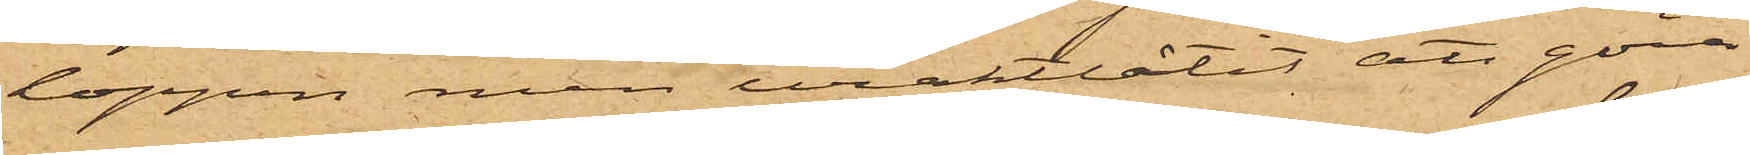loppen men uraktlåtit att göra
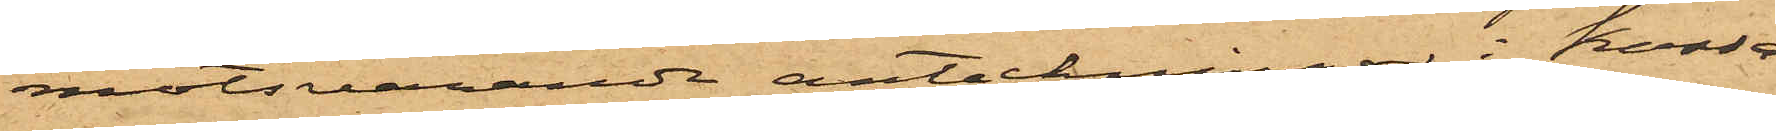motsvarande anteckningar i Kassa¬
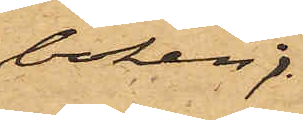boken;
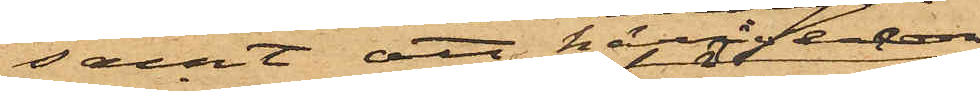samt att härefter
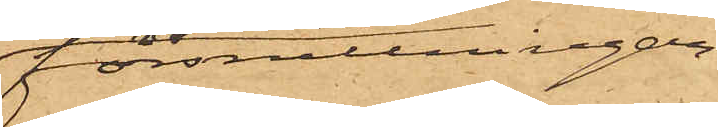förskingringar¬
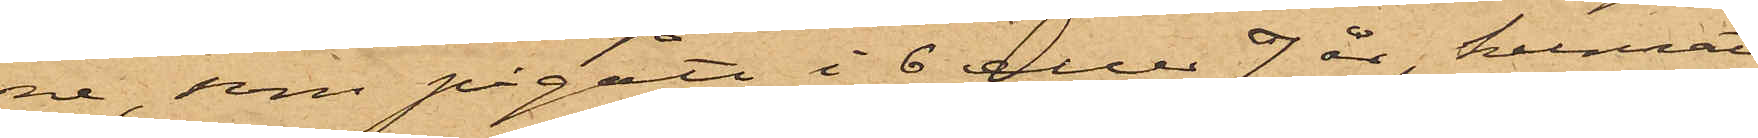ne, som pågått i 6 eller 7 år, kunnat
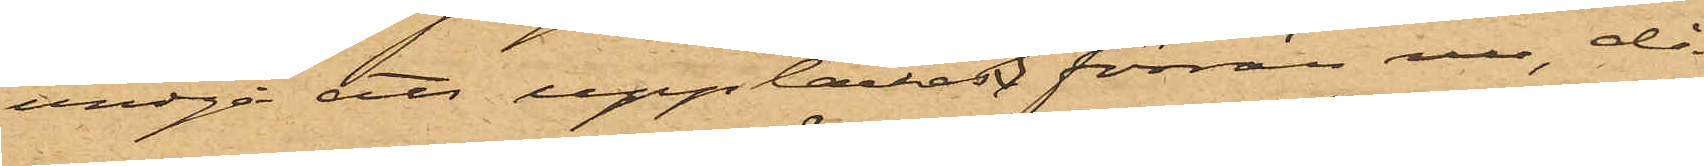undgå att upptäckas förrän nu, då
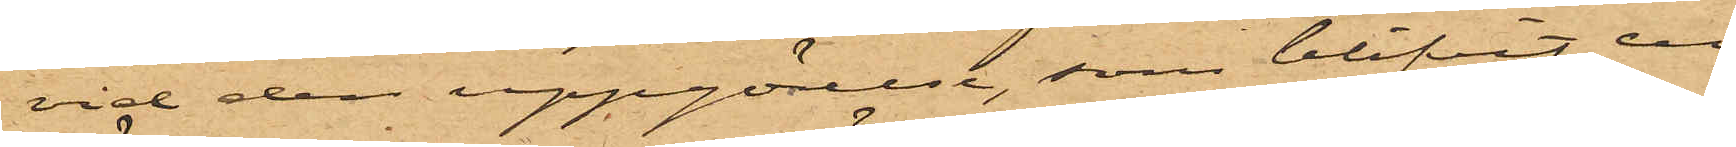vid den uppgörelse, som blifvit en
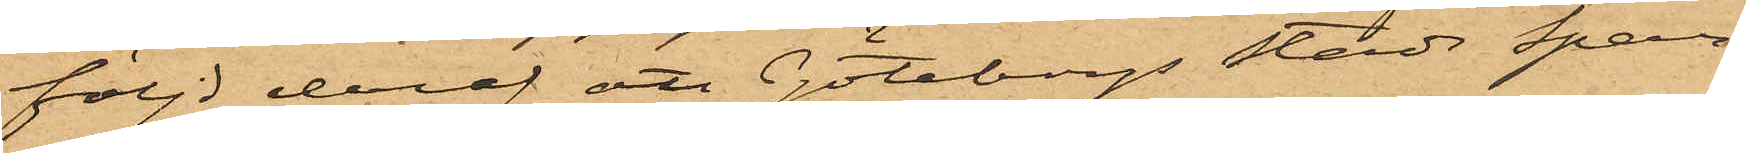följd deraf att Göteborgs Stads Spar¬
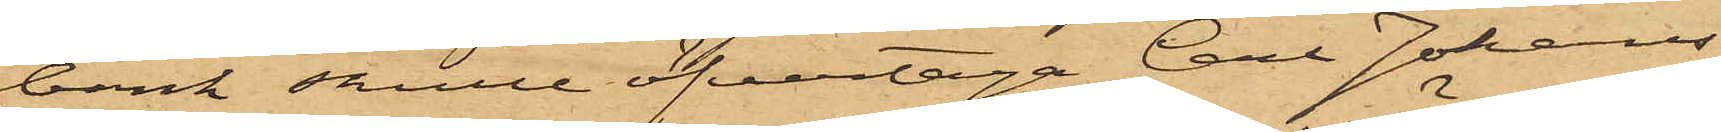bank skulle öfvertaga Carl Johans
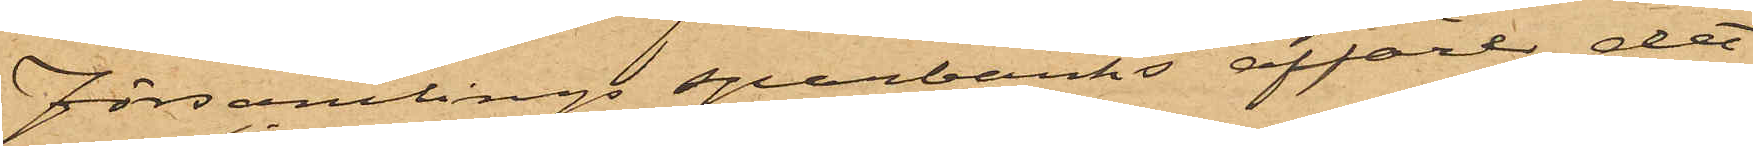Församlings Sparbanks affärer,  det
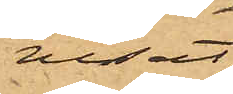visat
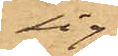sig
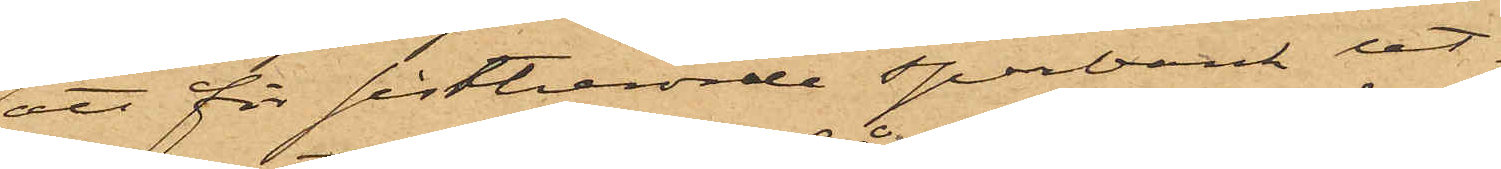att för sistberörde sparbank ut¬
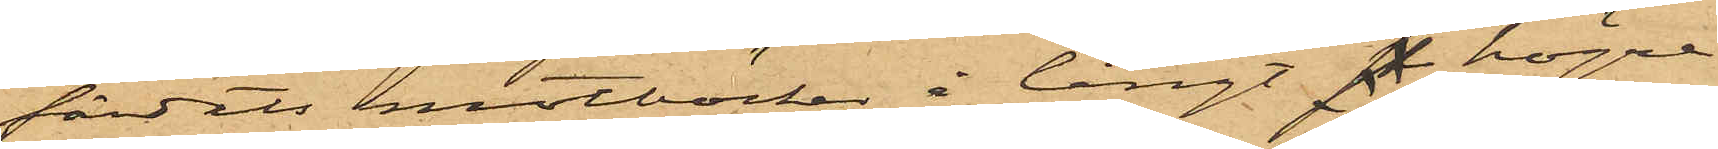färdats motböcker å långt s högre
